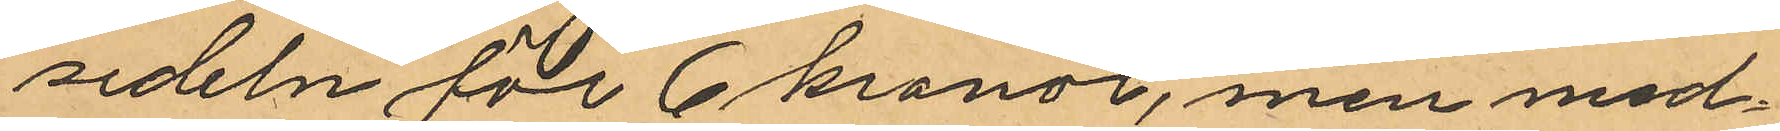sedeln för 6 kronor, men med¬
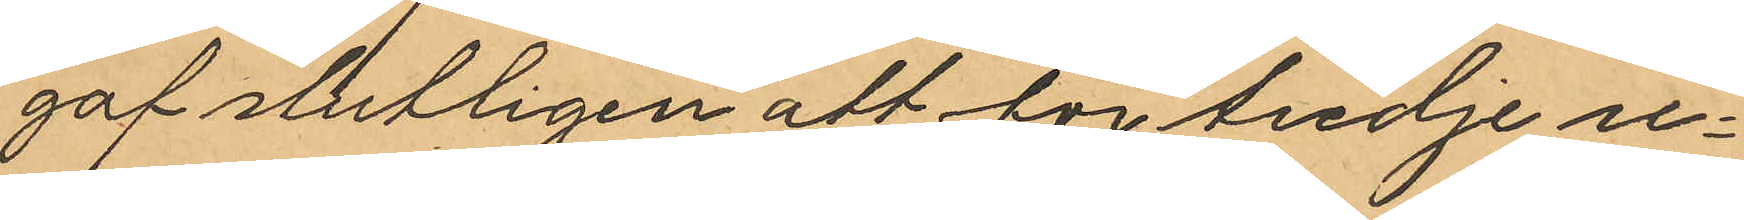gaf slutligen att för tredje re¬
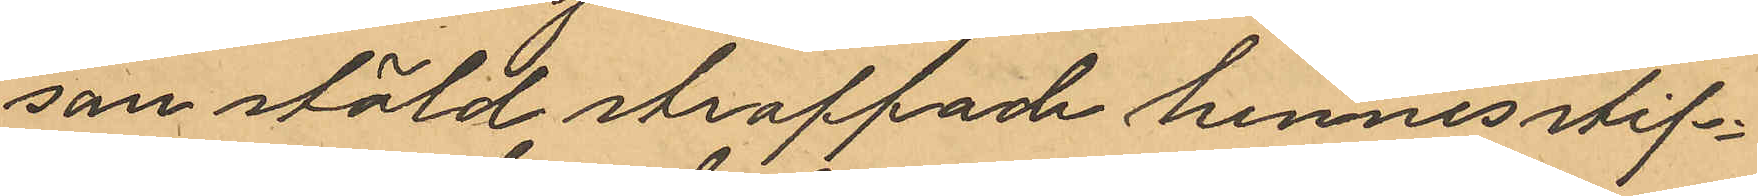san stöld straffade hennes styf¬
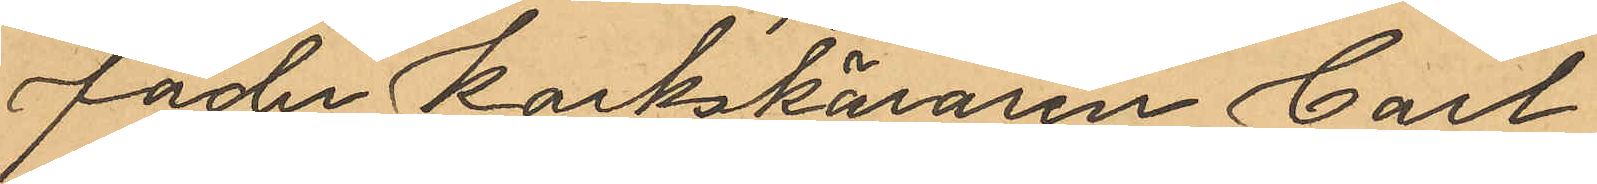fader Korkskäraren Carl-
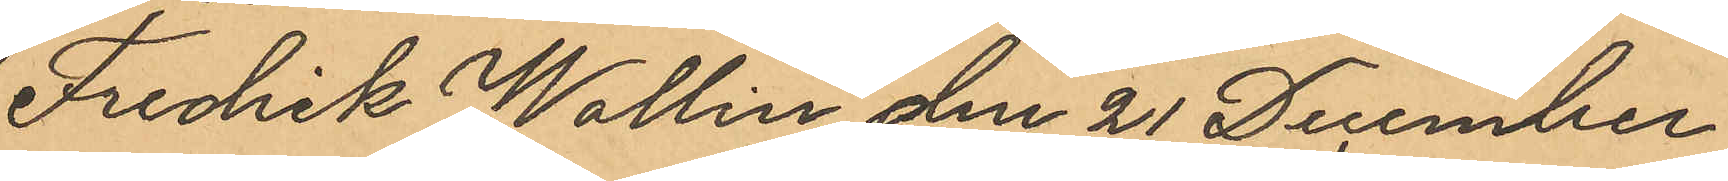Fredrik Wallin den 21 December
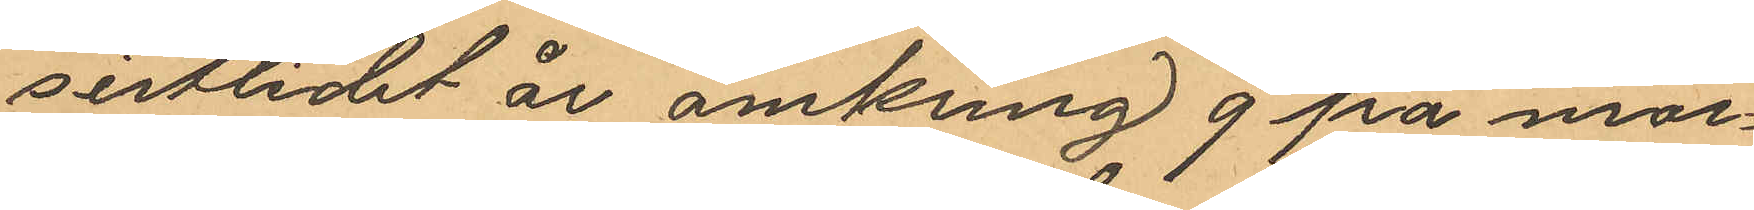sistlidet år omkring 9 på mor¬
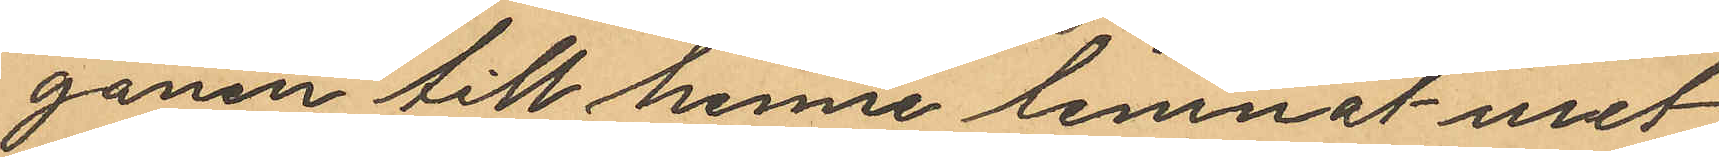gonen till henne lemnat uret
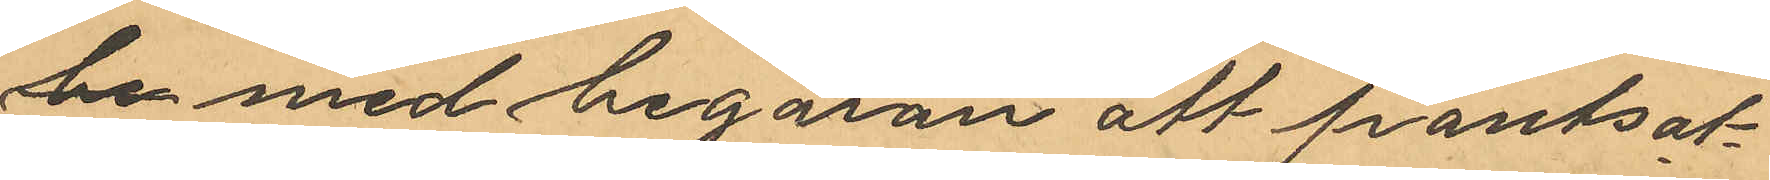be med begäran att pantsät¬
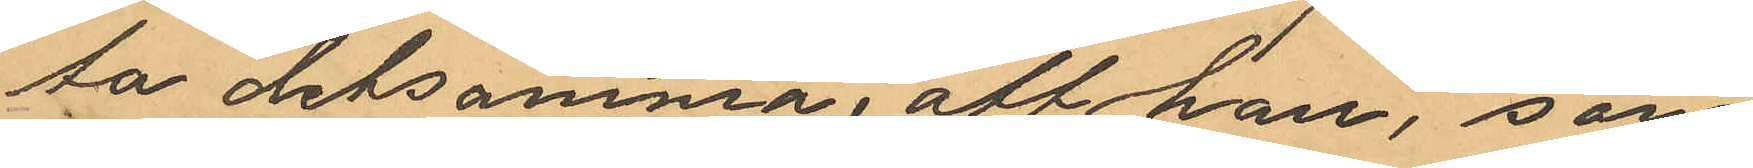ta detsamma, att hon, som
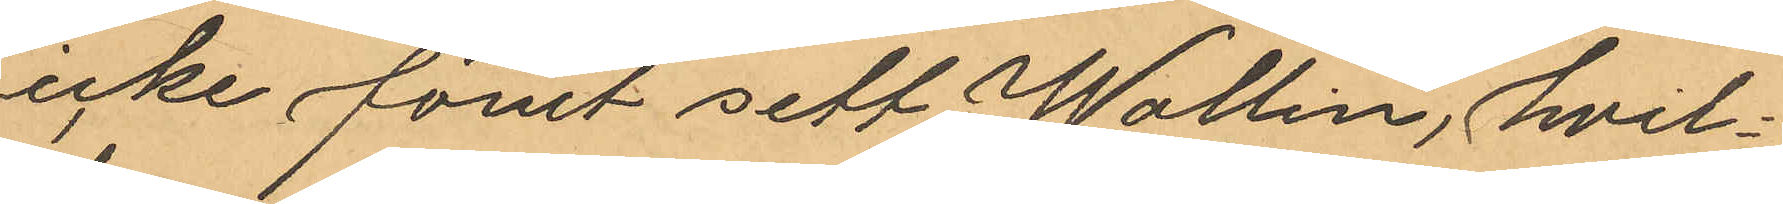icke förut sett Wallin, hvil¬
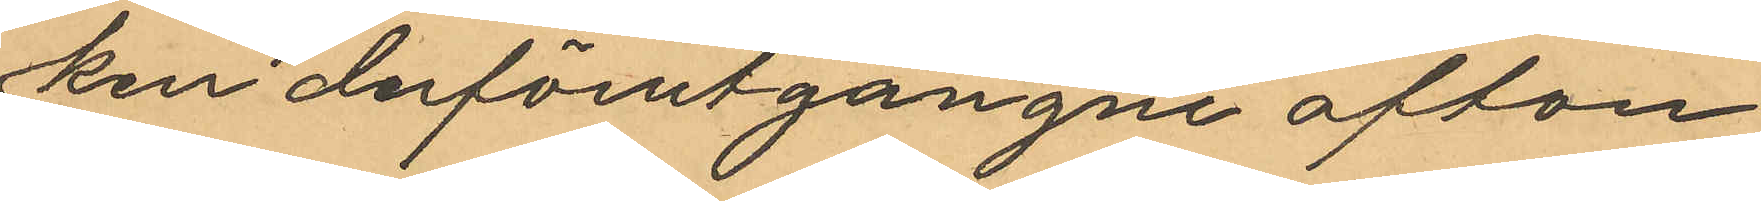ken derförutgångne afton
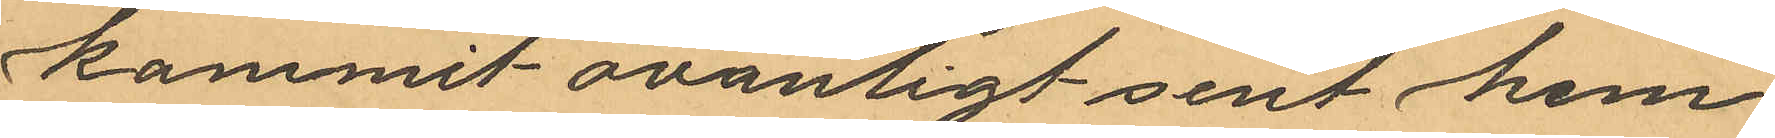kommit ovanligt sent hem
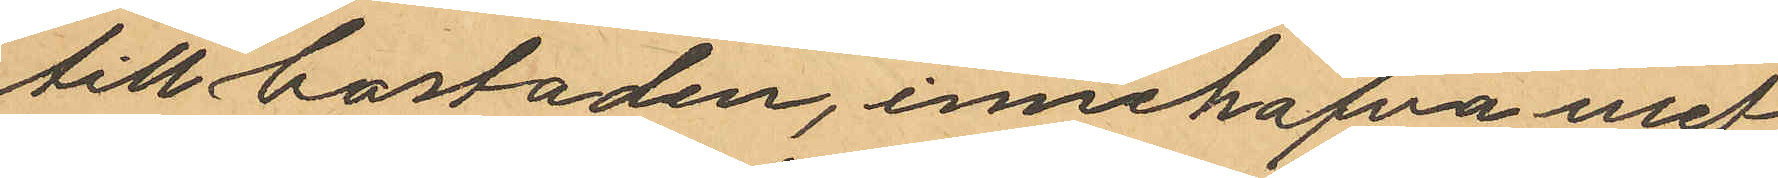till bostaden, innehafva uret
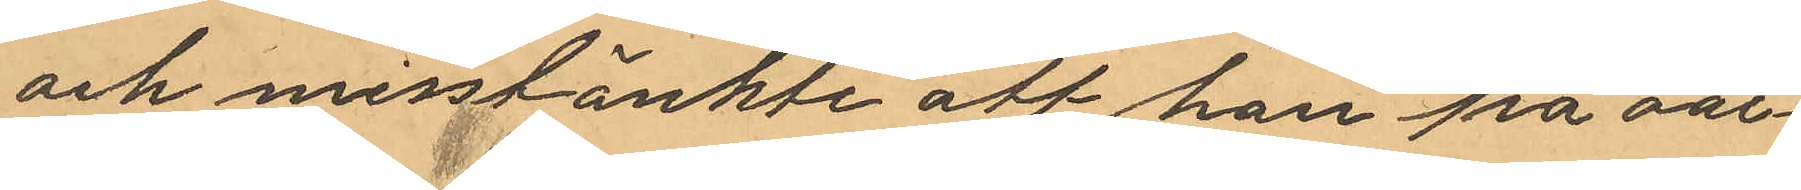och misstänkte att han på oär¬
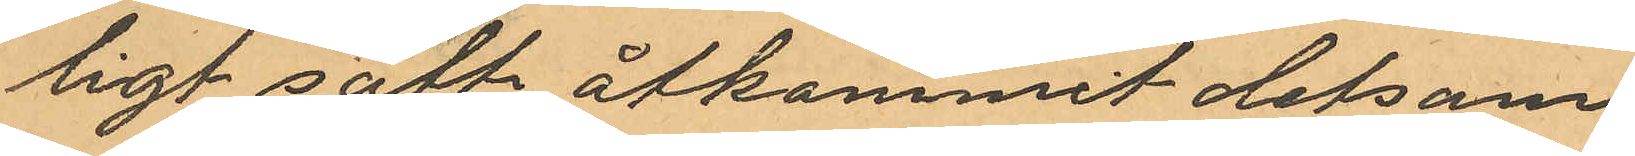ligt sätt åtkommit detsam¬
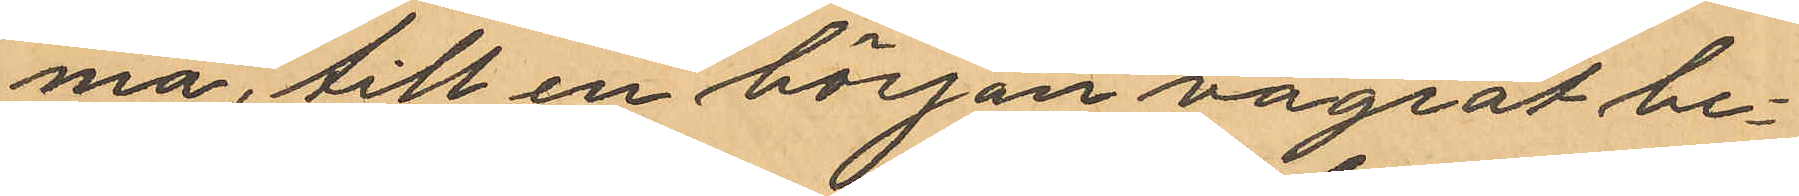ma, till en början vägrat be¬
